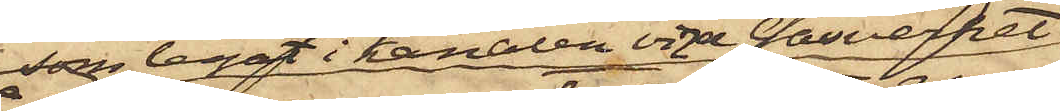 som legat i kanalen vid Gasverket
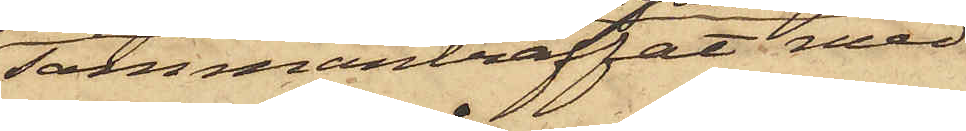sammanträffat med
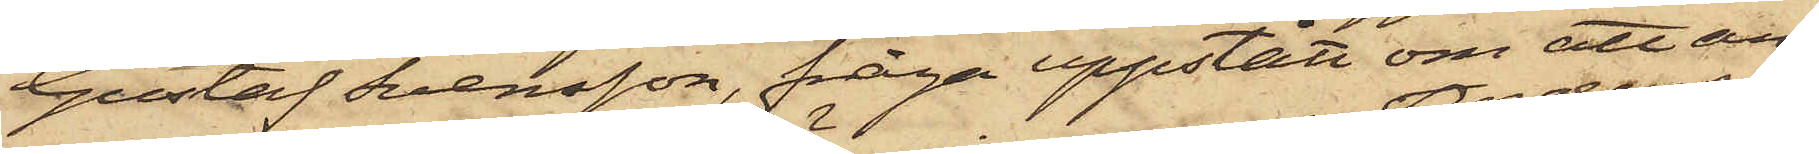Gustaf Svensson, fråga uppstått om att an¬
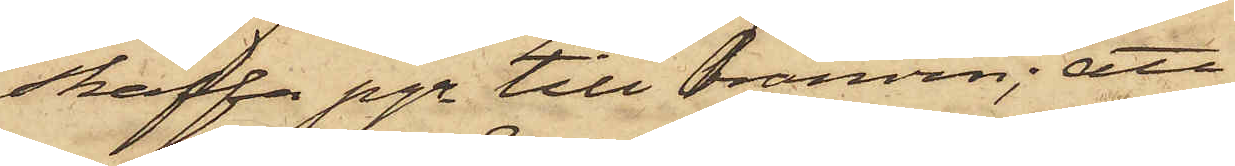skaffa pgr till bränvin; att
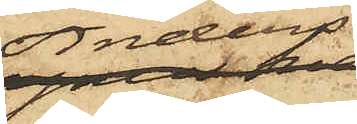Anders¬
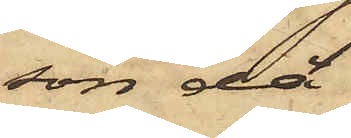son då
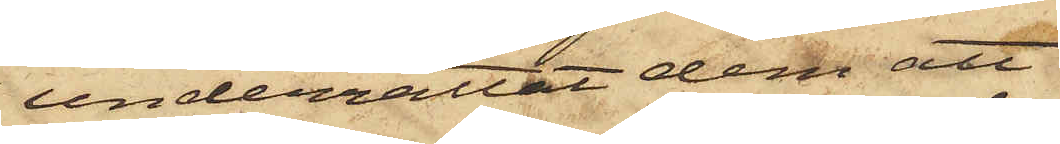underrättat dem att
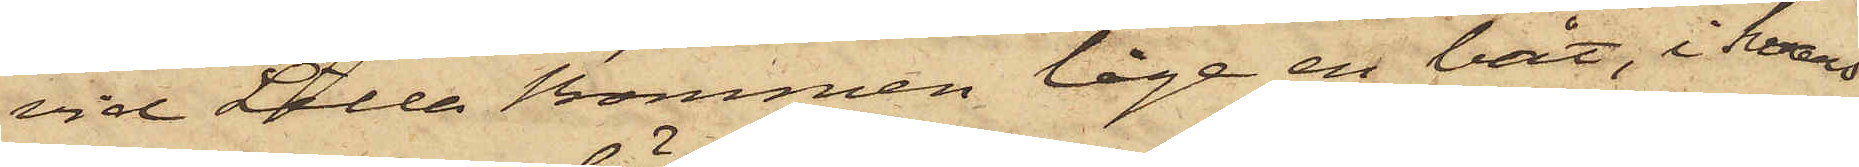vid Lilla Bommen låge en båt, i hvars
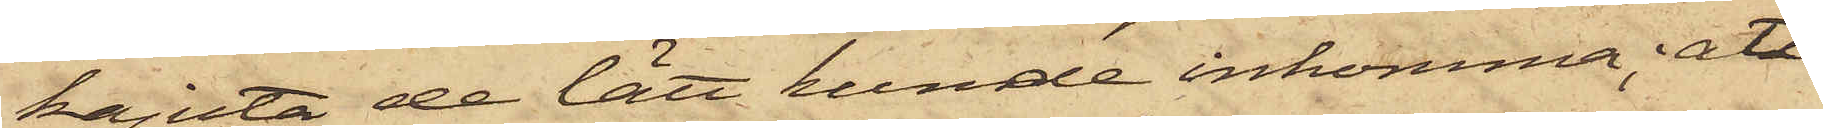kajuta de lätt kunde inkomma; att
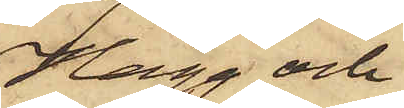Hägg och
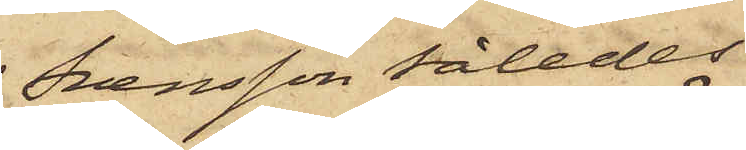Svensson således
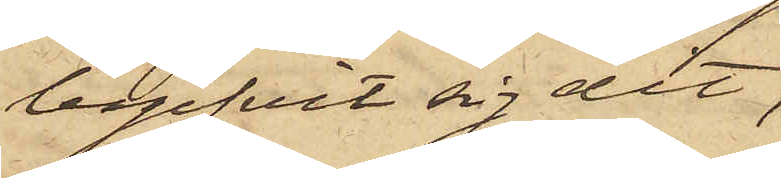begifvit sig dit,
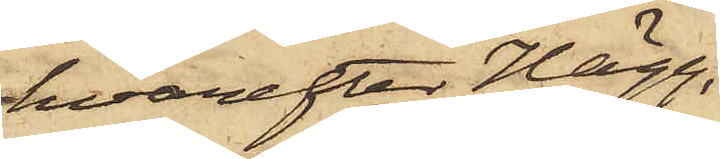hvarefter Hägg,
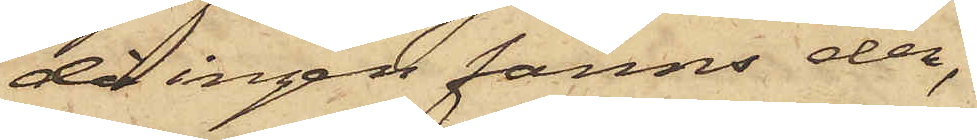då ingen fanns der,
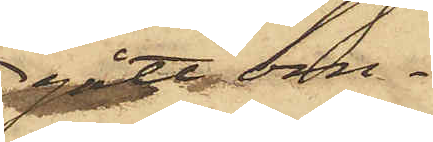gått om¬
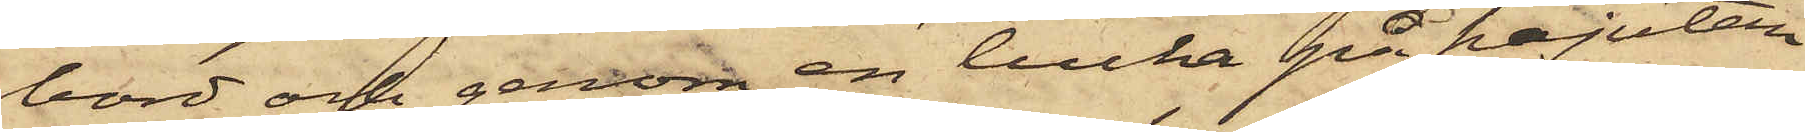bord och genom en lucka på kajutan
